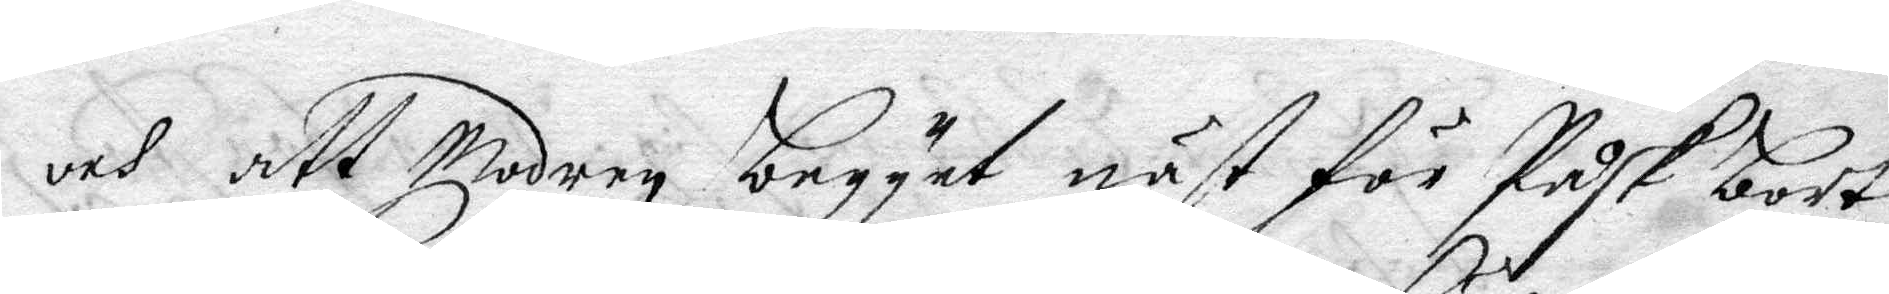och att Modren begynt näst för Påsk bort
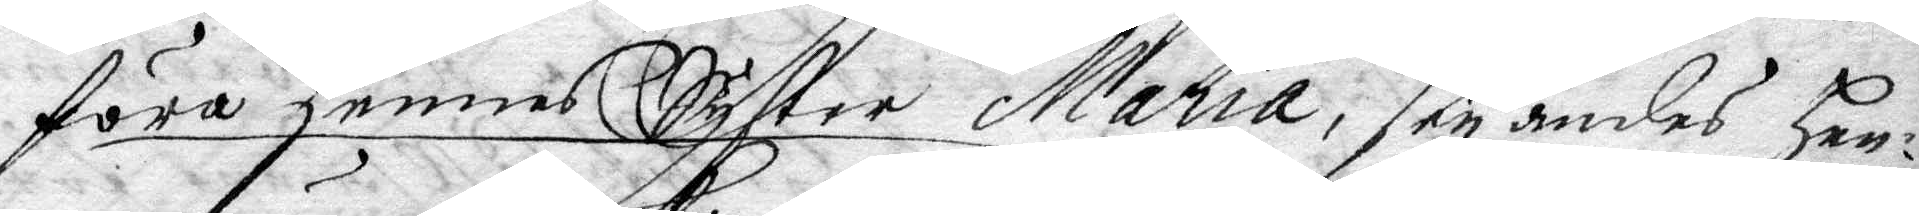föra hennes Syster Maria, seyandes Hen¬
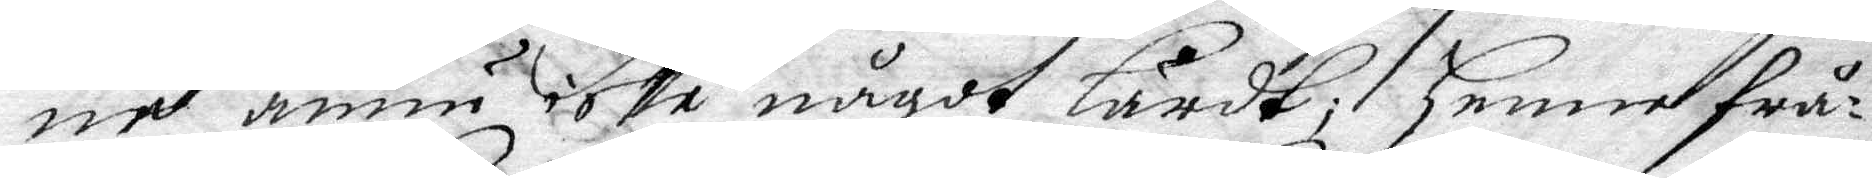ne ännu icke något lärdt; Henne frå¬
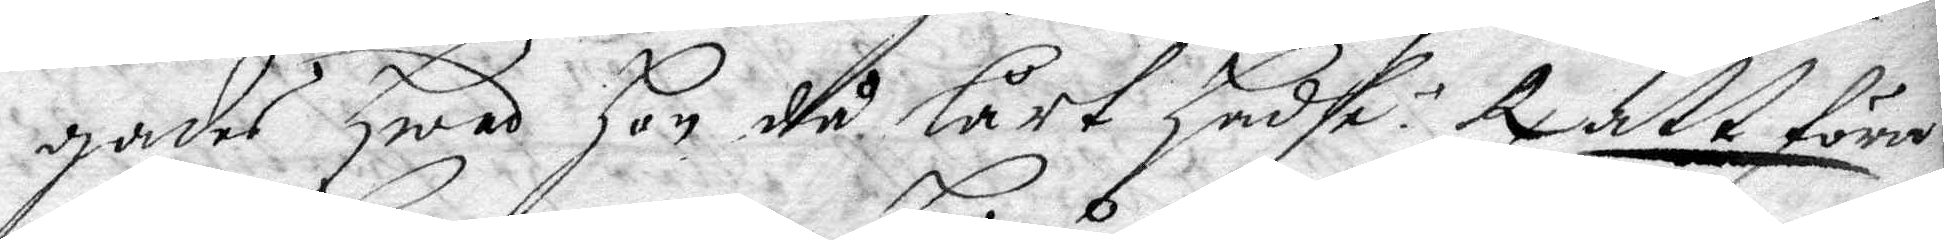gades Hwad hon då lärt Hadhe? Rx att föra 
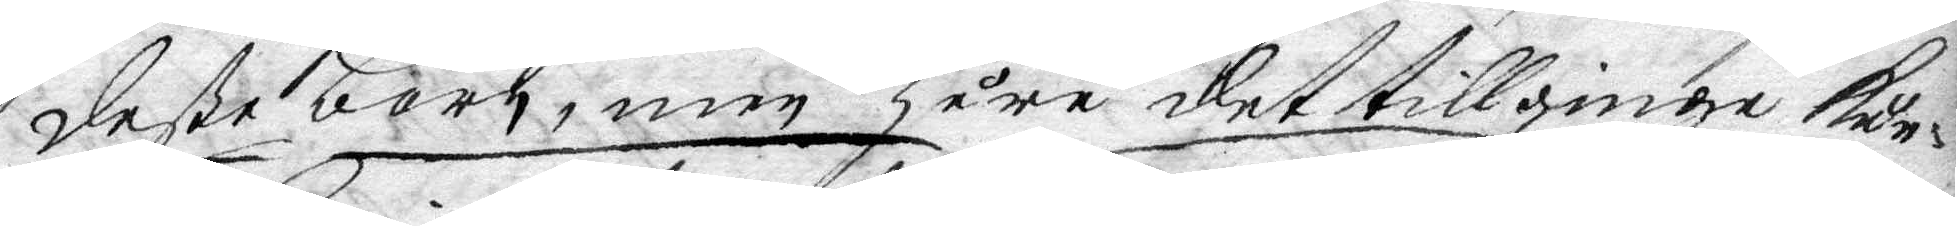deße barn, men Huru det tillginge kun¬
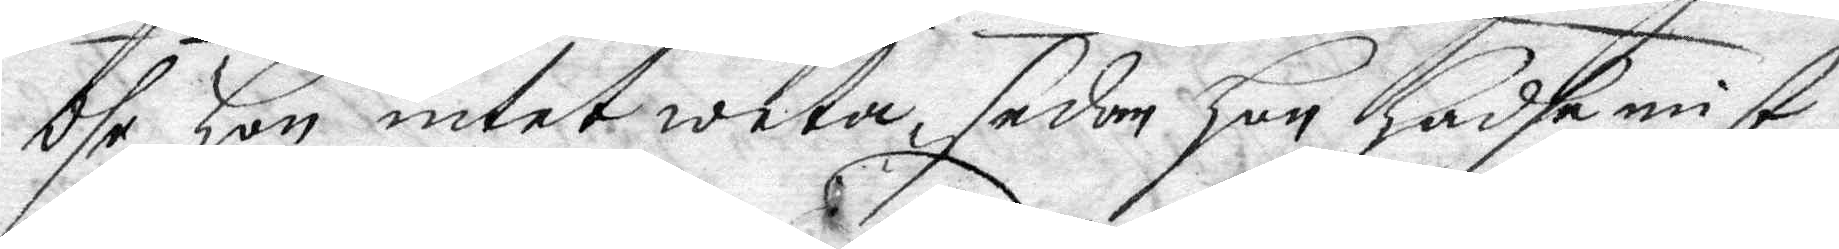dhe Hon intet weta, sedan Hon Hade mist
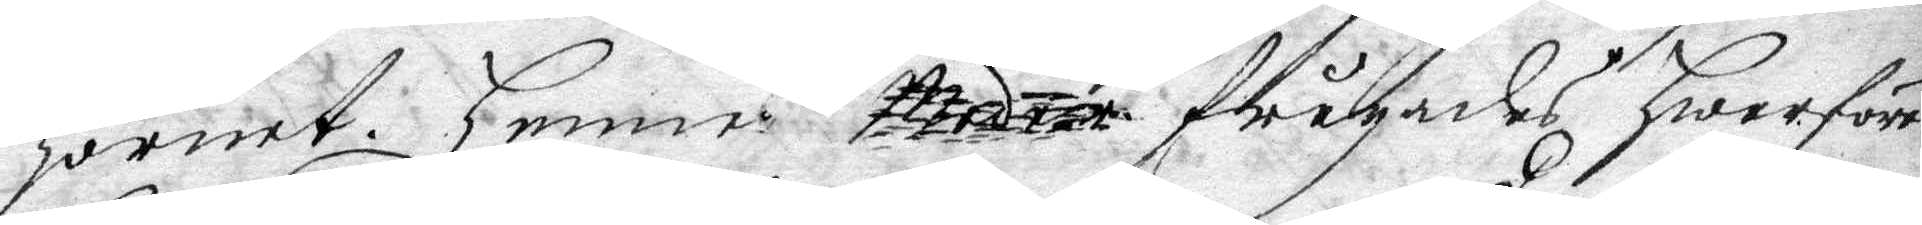hornet. Henne Moder frågades Hwarföre
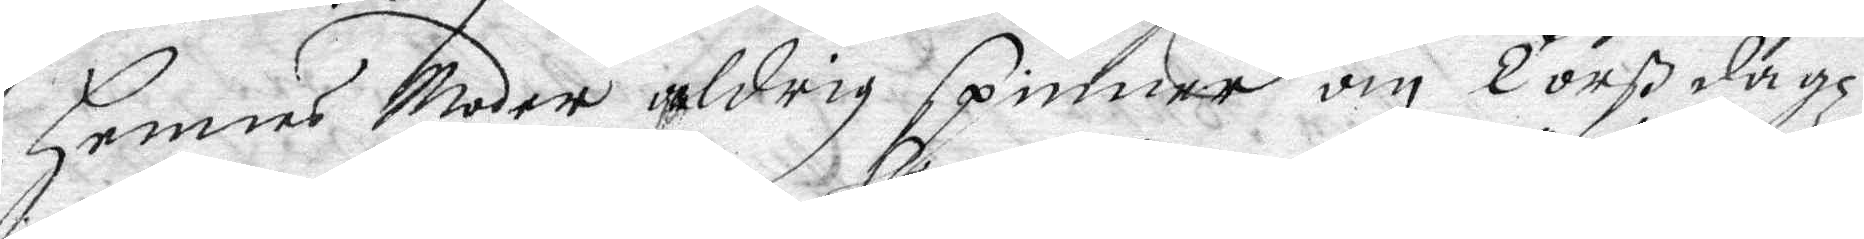hennes Moder aldrig spinner om Torßdagz
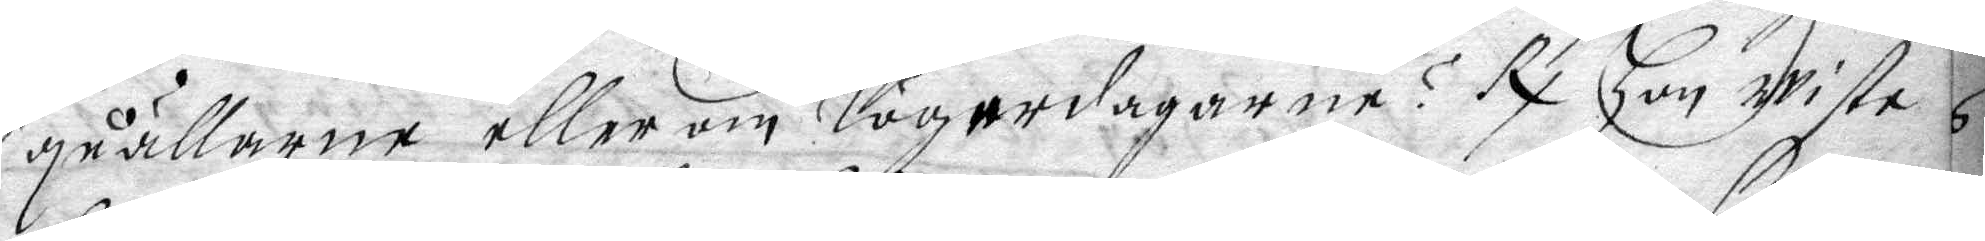qwällarne eller om lögerdagarne? Rx Hon wiste
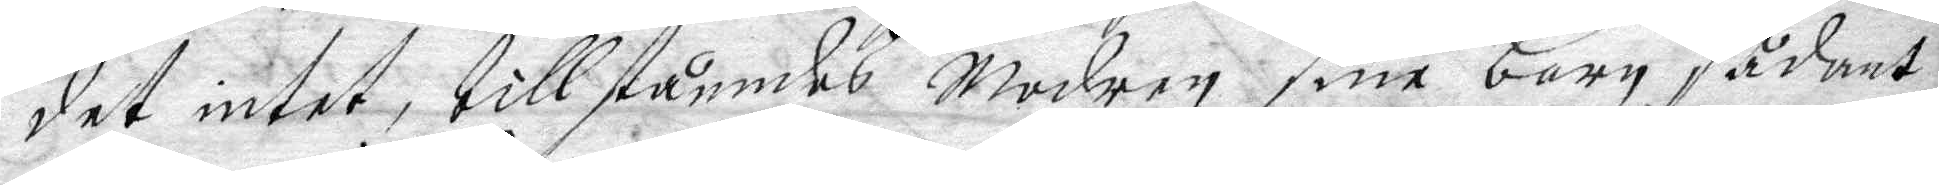det intet, tillståendes Modren sine barn sådant
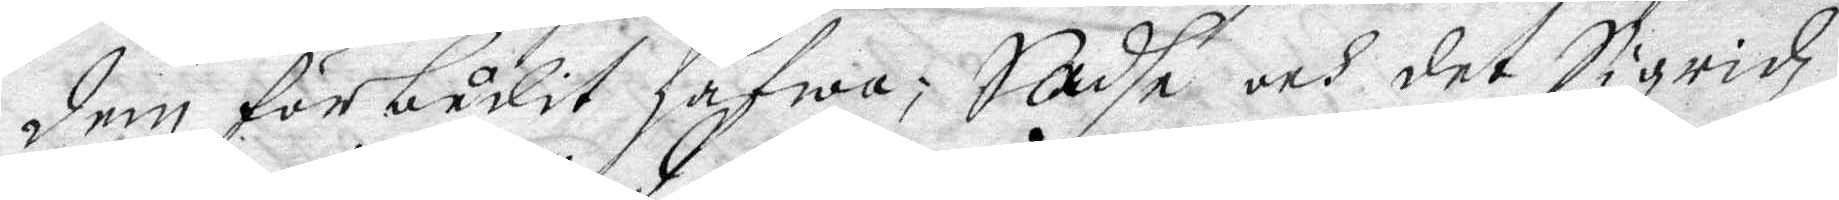dem förbudit hafwa; Sadhe och det Sigridz
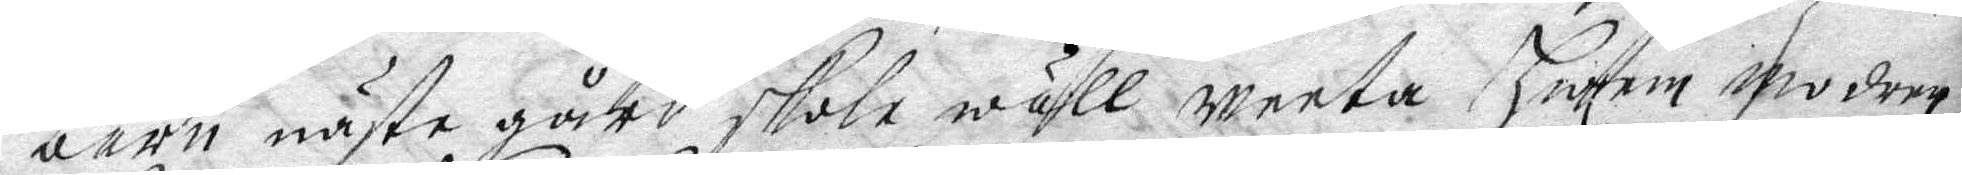barn näste gård skola wäll weeta Hwem Modren
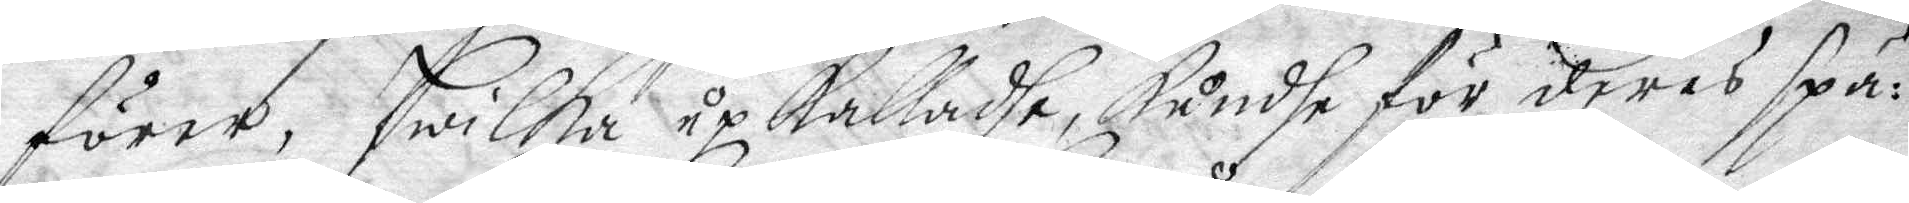förer, Hwilka upkalladhe, kundhe för deras spä¬
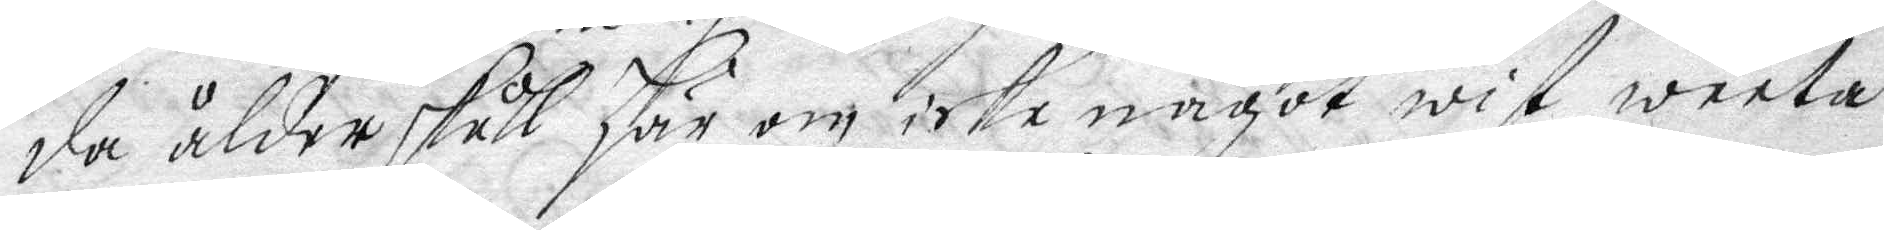da ålder skull här om icke något wist weeta
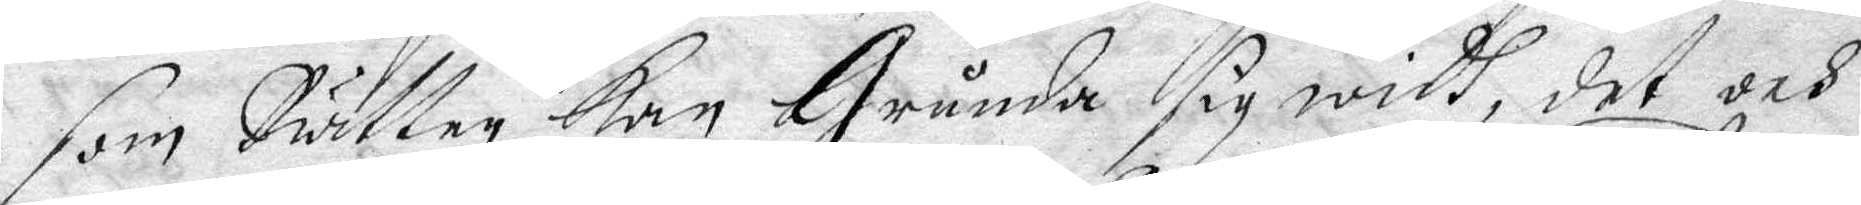som Rätten kan Grunda sig widh, det och
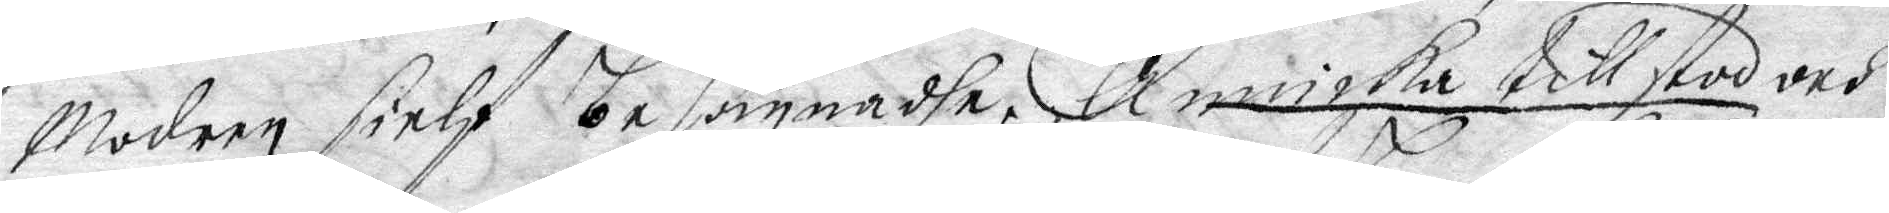Modern sielf besannadhe, Annicka tillstod och
